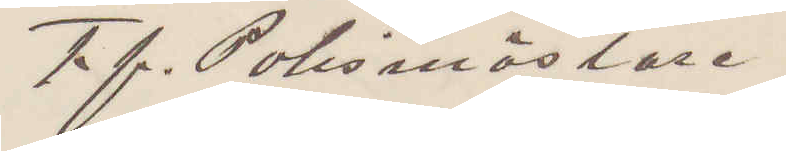T f. Polismästare.
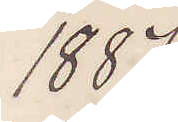1887
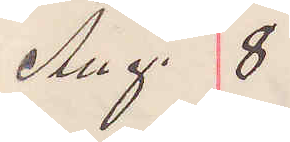Aug. 8
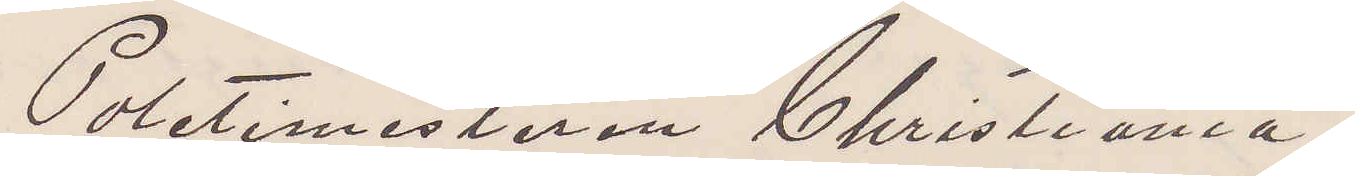Politimesteren Christiania.
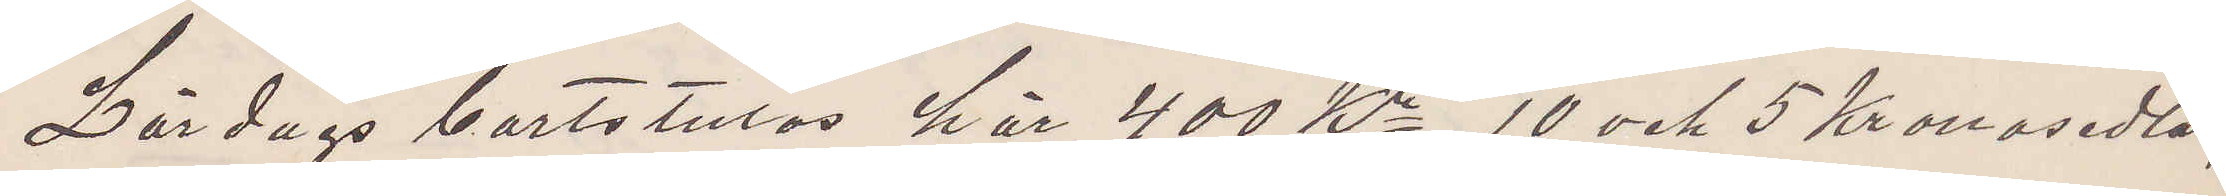Lördags bortstulos här 400 Kr, 10 och 5 Kronosedlar,
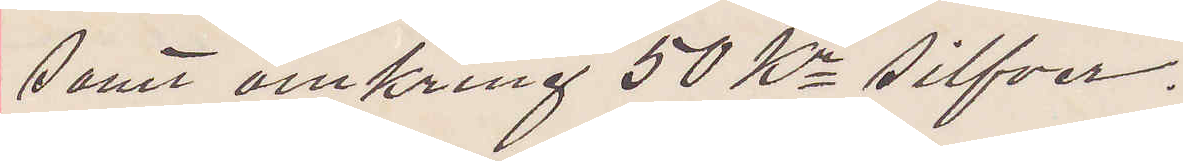samt omkring 50 Kr silfver.
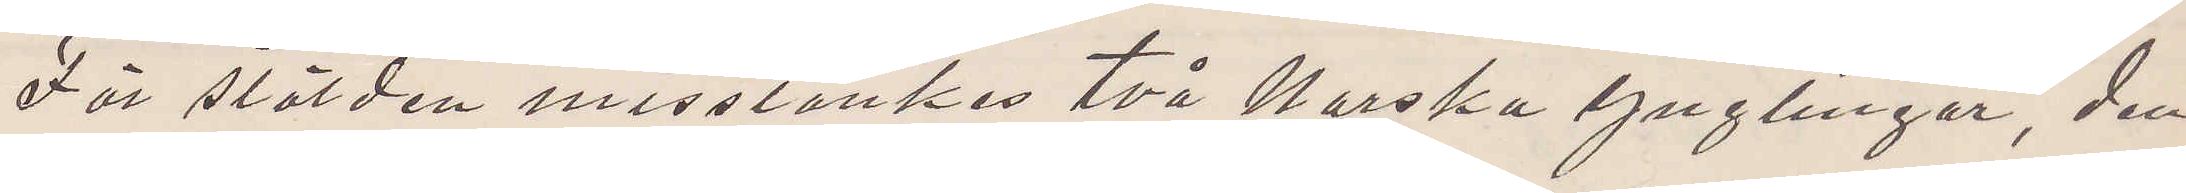För stölden misstänkes två norska Ynglingar, den
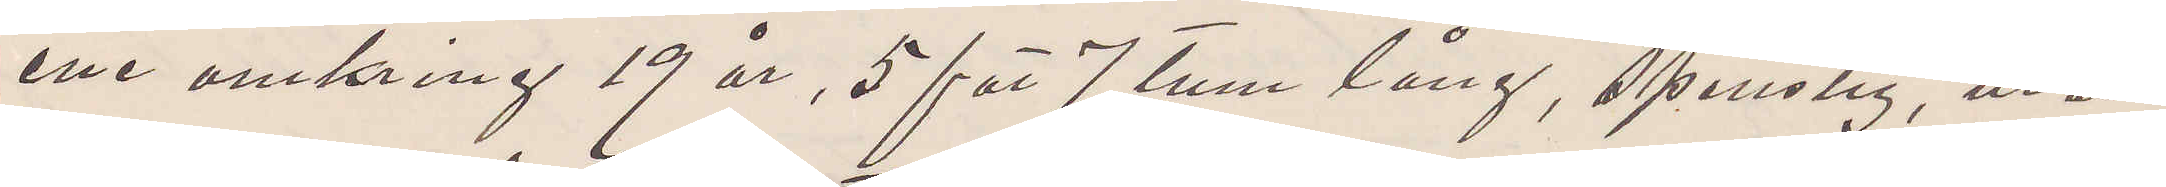ene omkring 19 år, 5 fot 7 tum lång, spenslig, utan
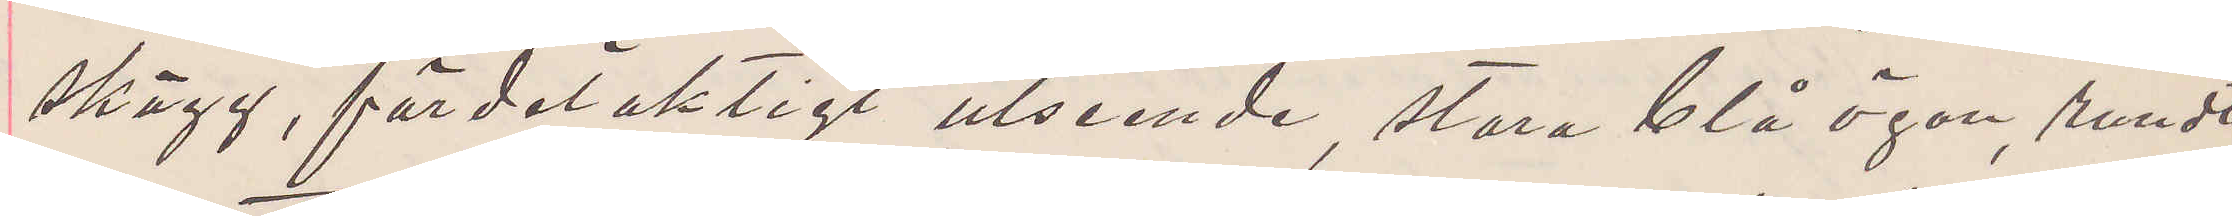skägg, fördelaktigt utseende, stora blå ögon, rundt
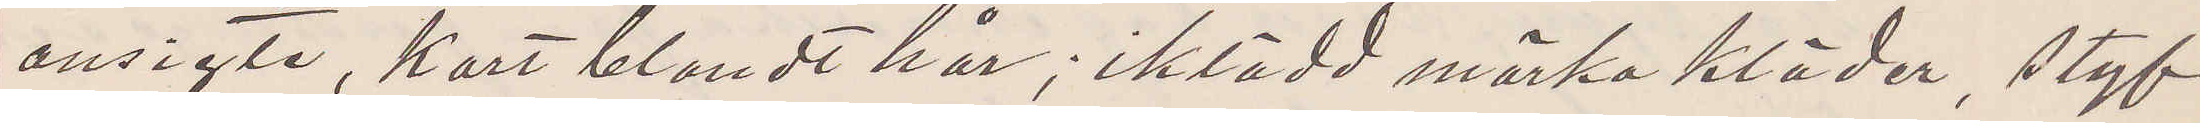ansigte, kort blondt hår; iklädd mörka kläder, styf
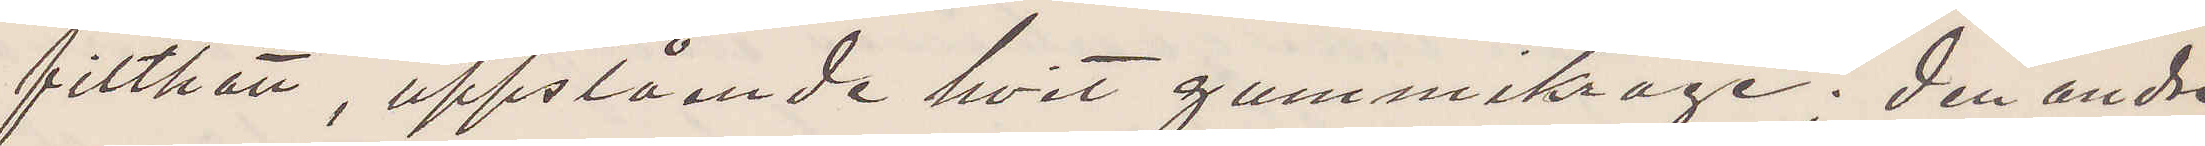filthatt, uppstående hvit gummikrage; den andra
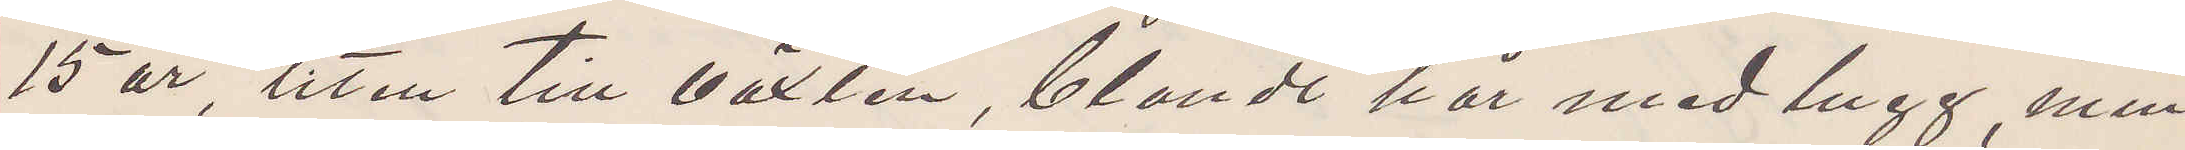15 år, liten till växten, blondt hår med lugg min¬
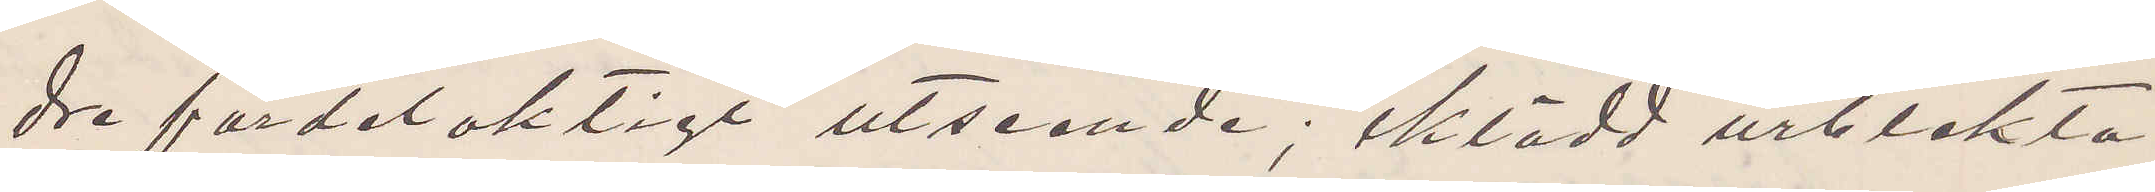dre fördelaktigt utseende; iklädd urblekta
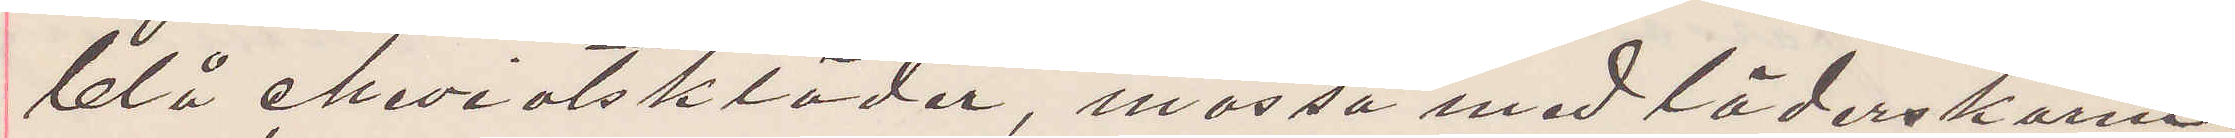blå cheviotskläder, mössa med läderskärm.
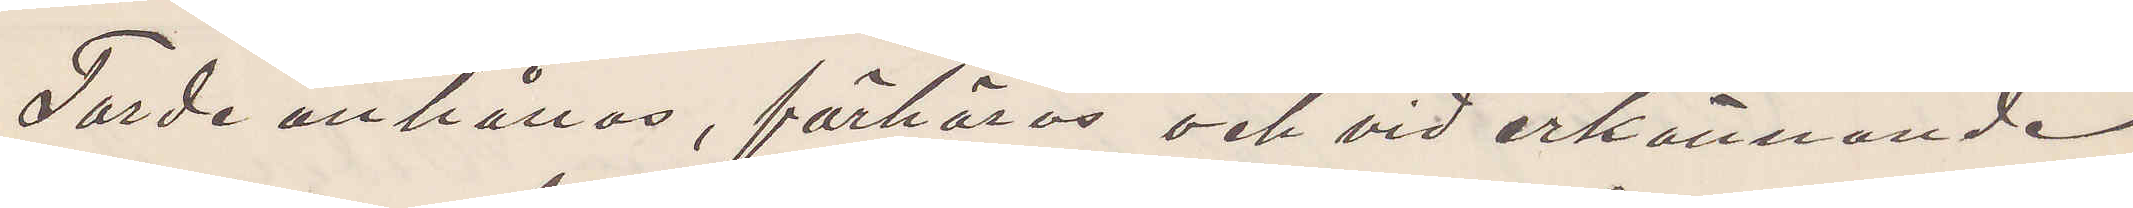Torde anhållas, förhöras och vid erkännande
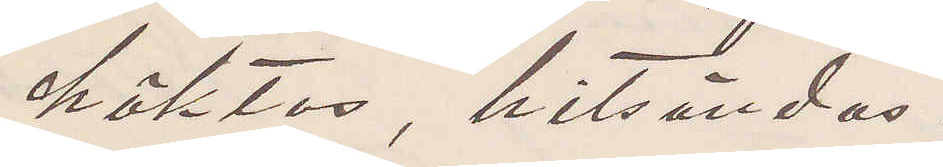häktas, hitsändas.
